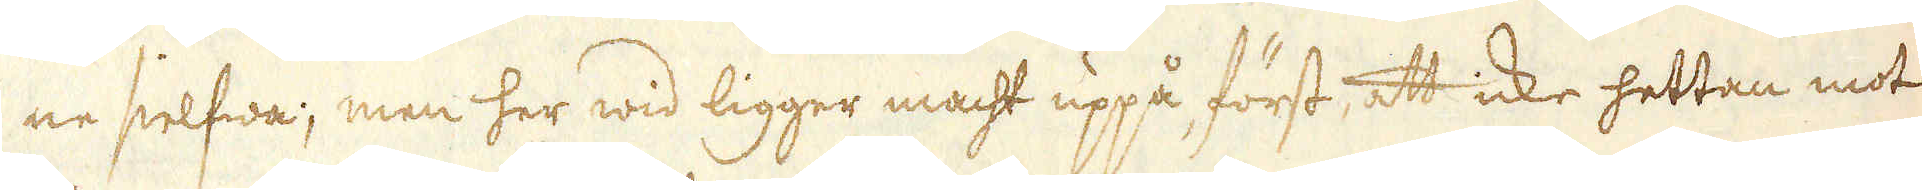ne sielfwa; men her wid ligger macht uppå, först, att icke hettan mot
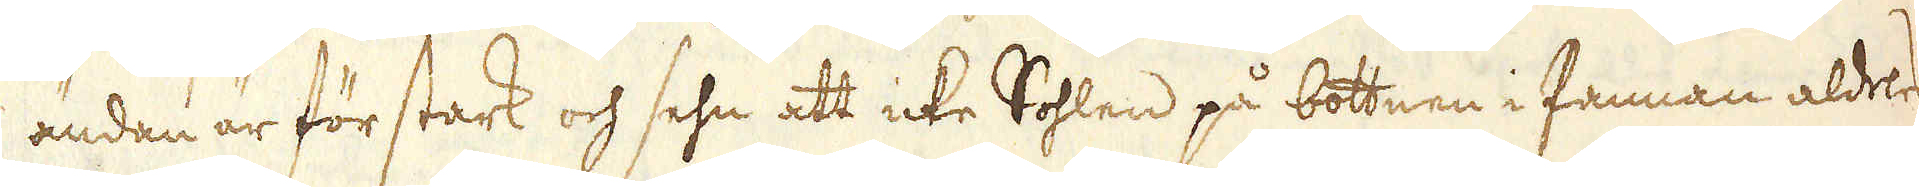ändan är för stark och sehn att icke Sohlen på bottnen i Pannan aldeles
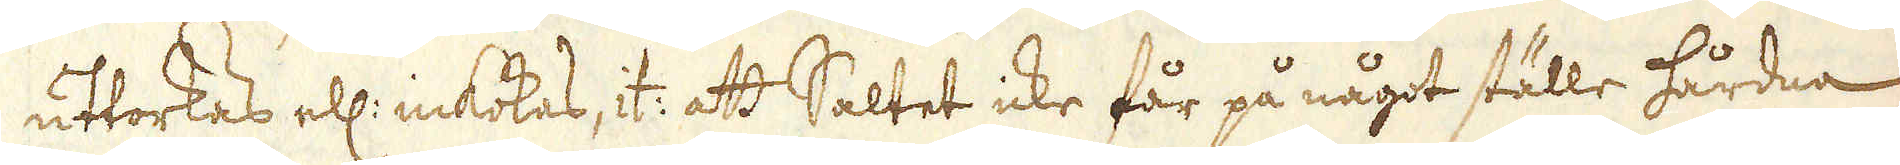uttorkes ell: inkokas, it: att Saltet icke får på något ställe hårdna
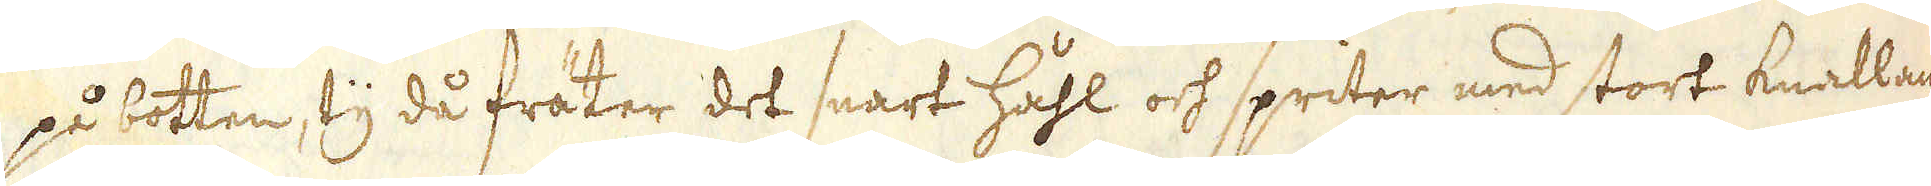på botten, ty då fräter det snart håhl och spriter med stort knallan-
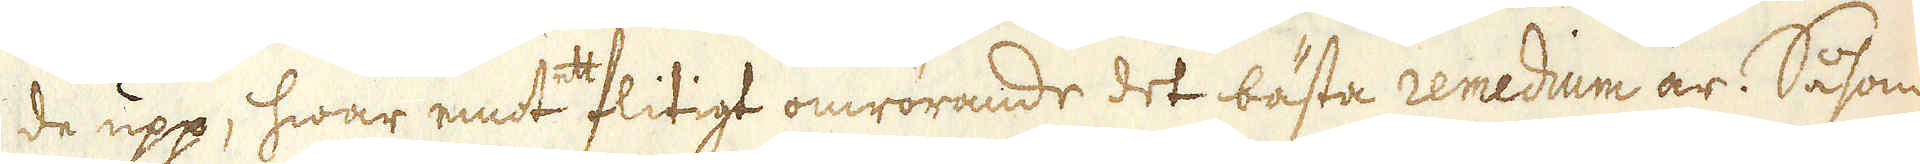de upp, hwar emot ett flitigt omrörande det bästa remedium är. Såsom
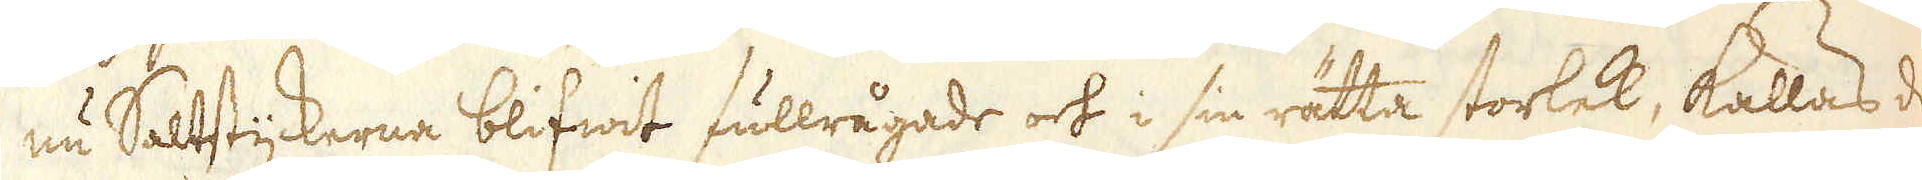nu Saltstyckerna blifwit fullrågade och i sin rätta storlek, kallas de
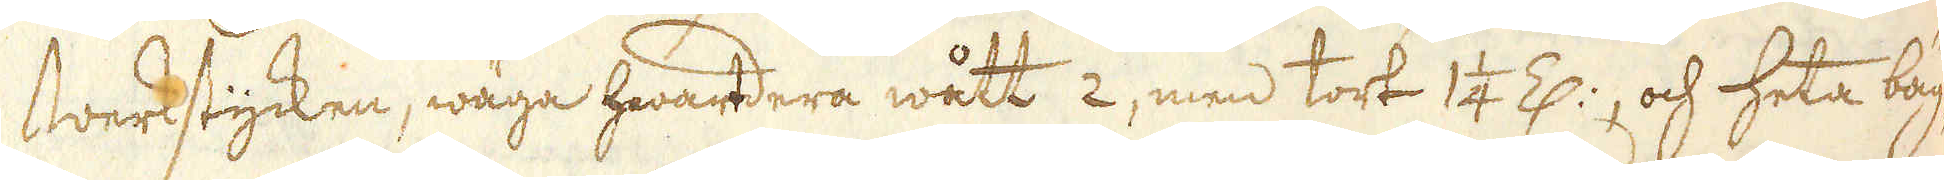Werkstycken, wäga hwartdera wått 2, men tort 1 1/4 Z:, och heta bäg-
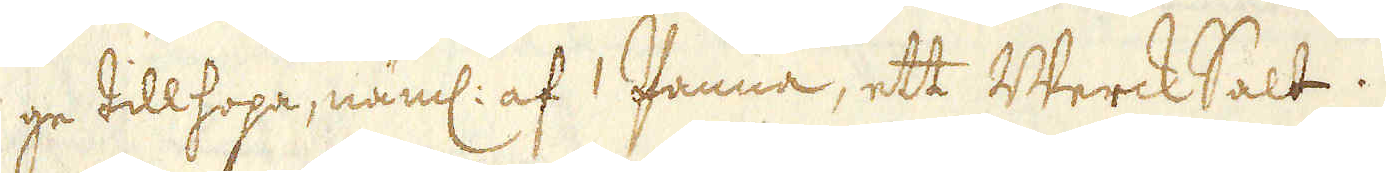ge tillhopa, näml: af 1 Panna, ett WerckSalt.
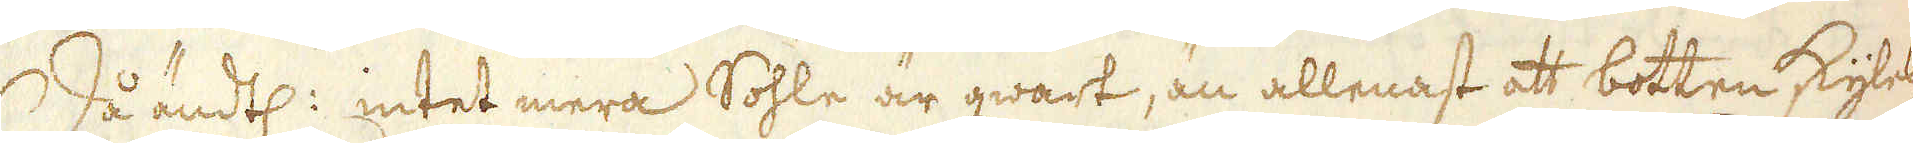Då ändtl: intet mera Sohle är qwart, än allenast att botten skyles,
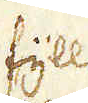fyller
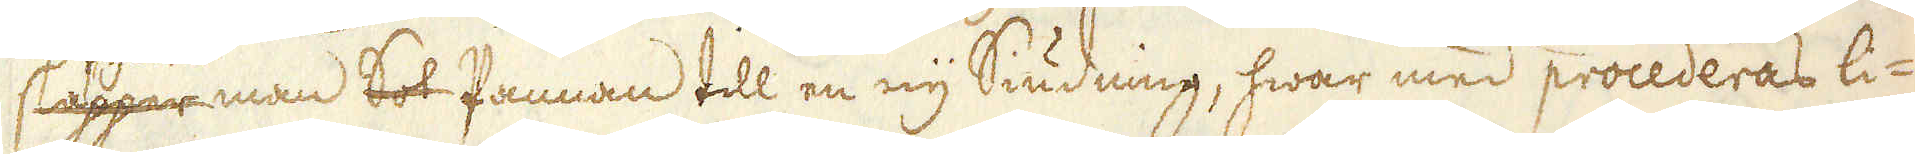släpper man Sot Pannan till en ny Siudning, hwar med procederas li-
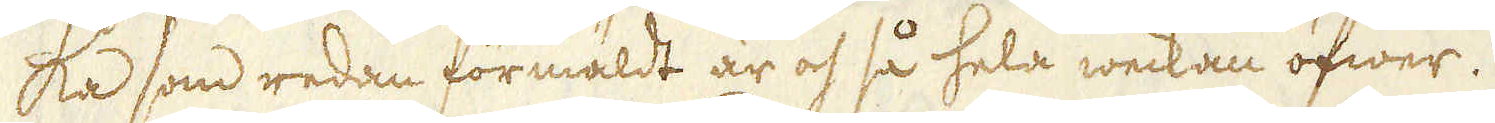ka som redan formäldt är och så hela weckan öfwer.
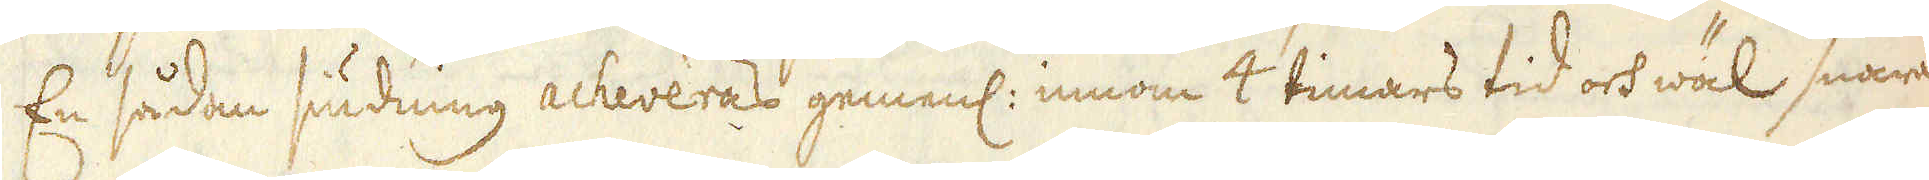En sådan siudning acheveras gemenl: innom 4 timars tid och wäl snara-
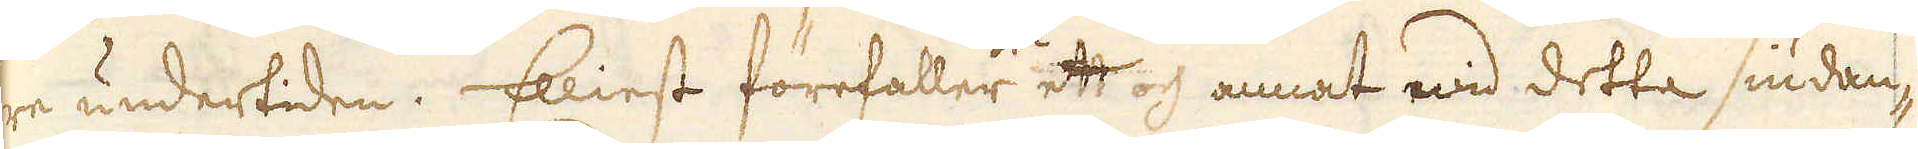re undertiden. Elliest förefaller ock ett och annat wid detta siudan-
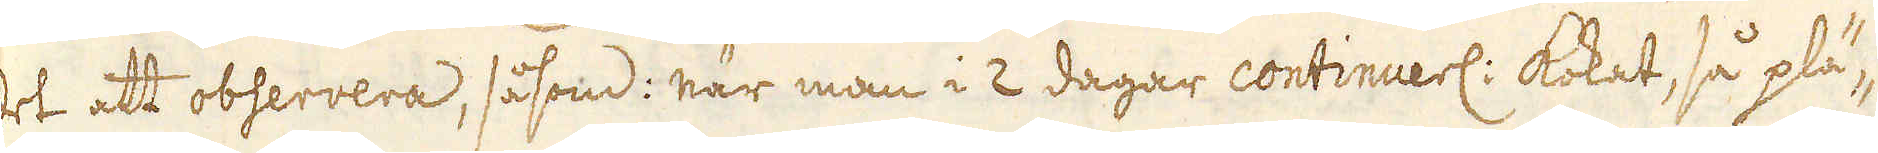de att observera, såsom: när man i 2 dagar continuerl: kokat, så plä-
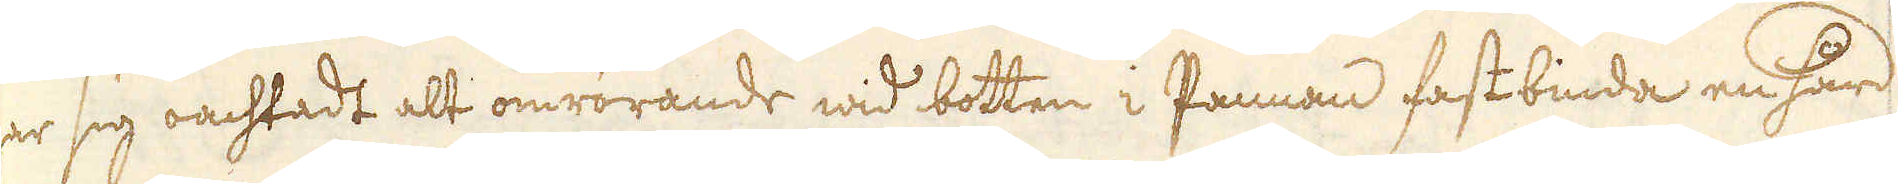gar sig oachtadt alt omrörande wid bottn i Pannan fastbinda en hård
